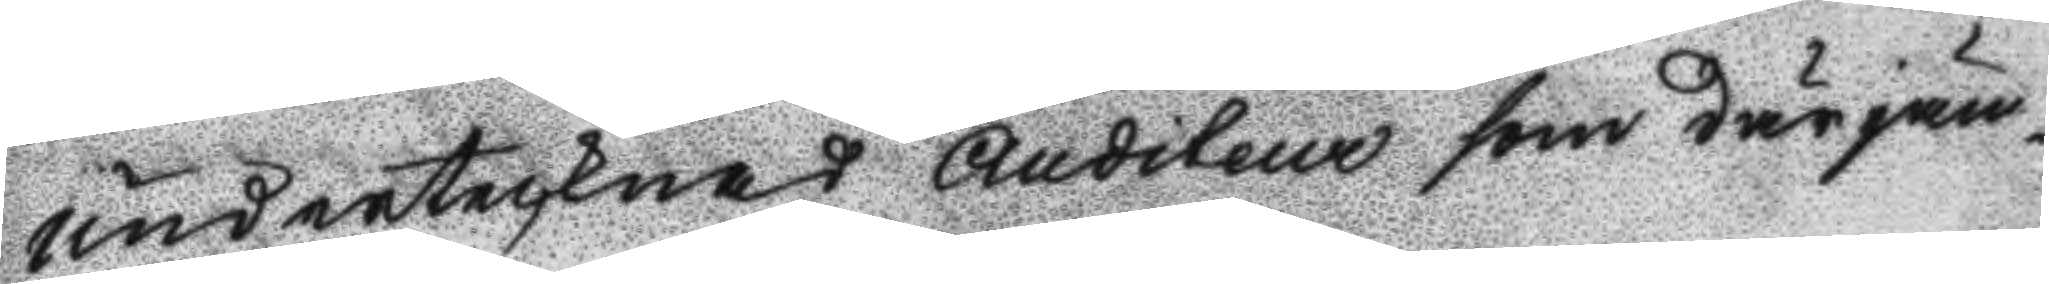undertecknad Auditeur som därjäm¬
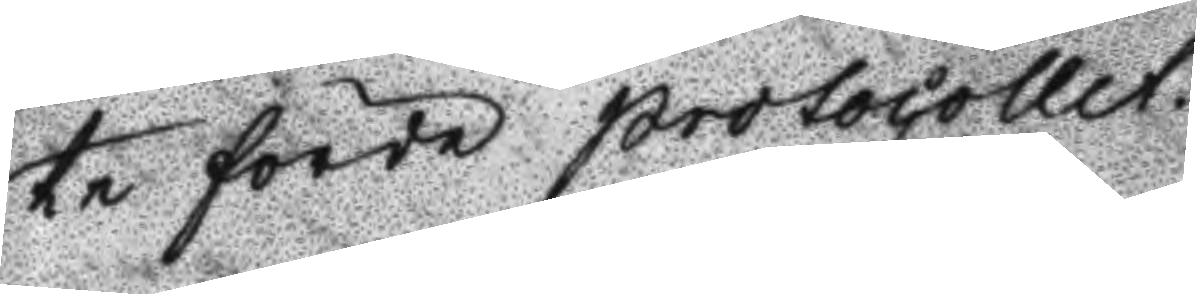te förde protocollet.
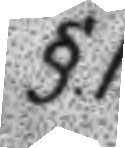§.1.
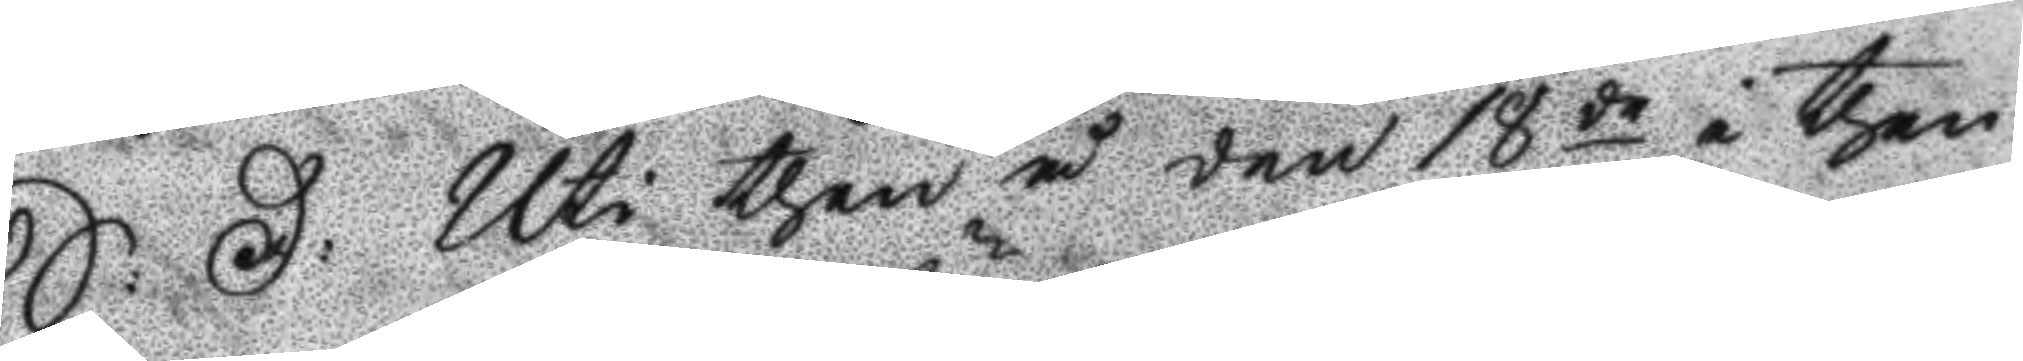S: D: Uti then å den 18de i then¬
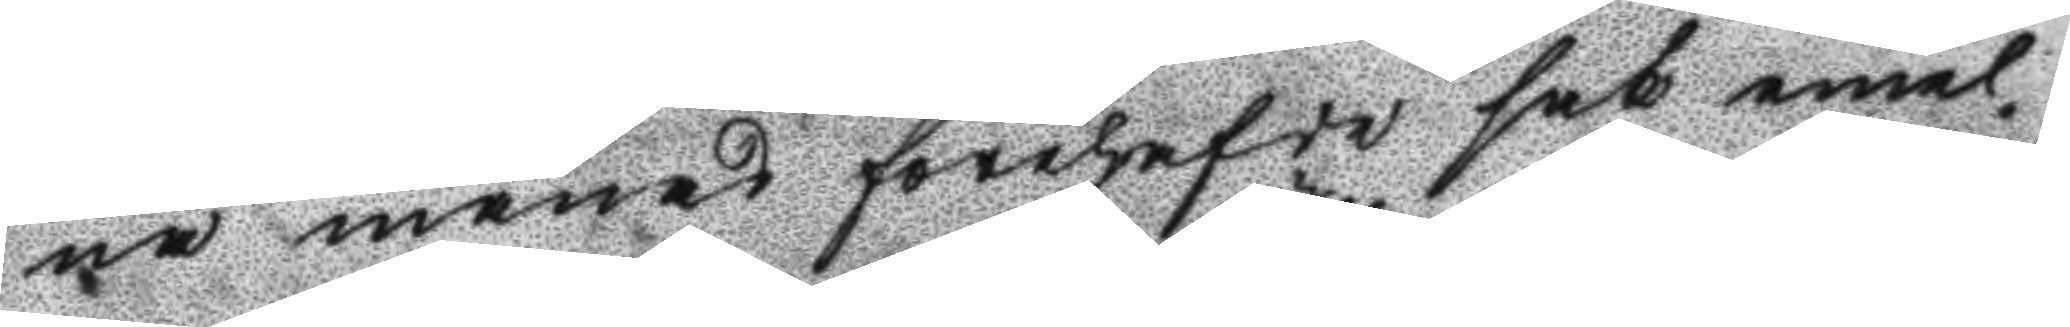ne månad förehafde sak emel¬
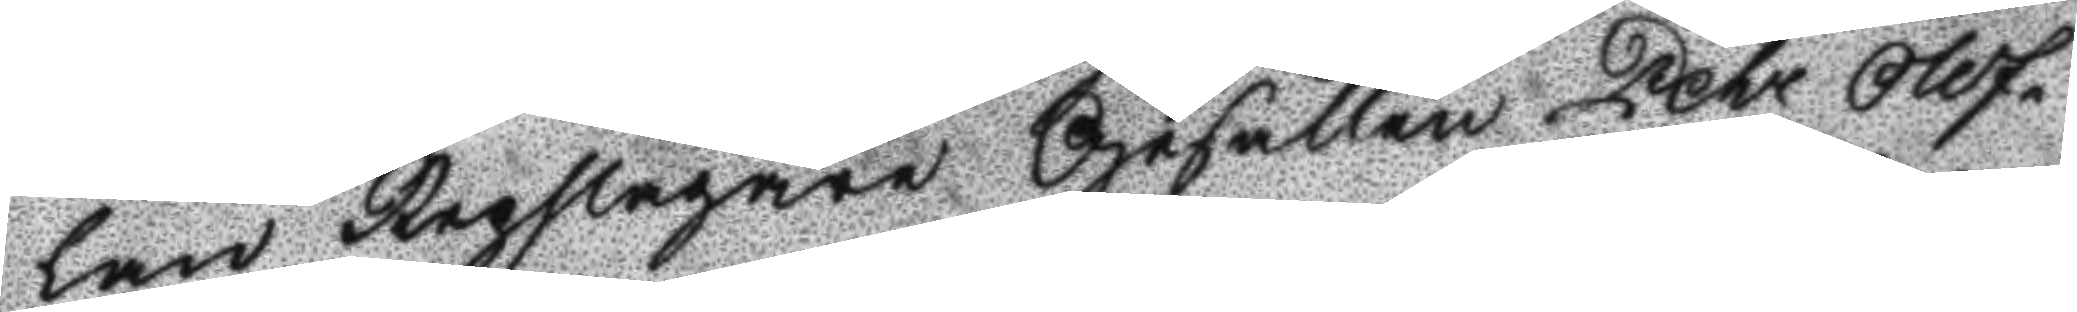lan Repslagare Gesällen Pehr Olof¬
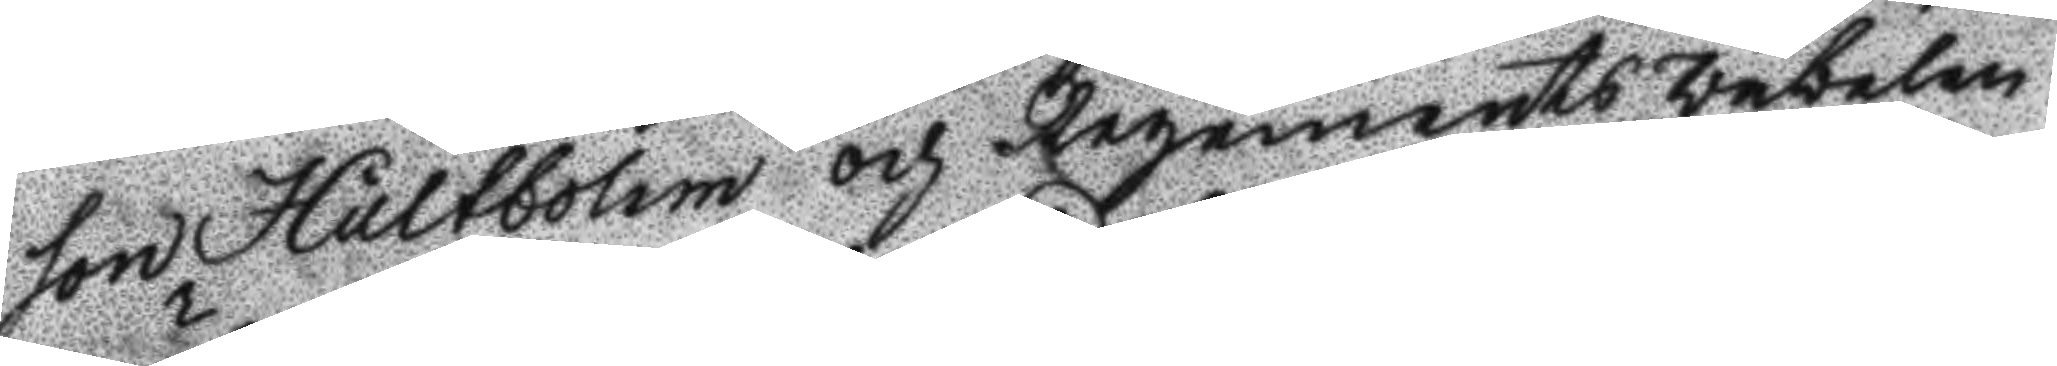son Hultbohm och Regements väbelen
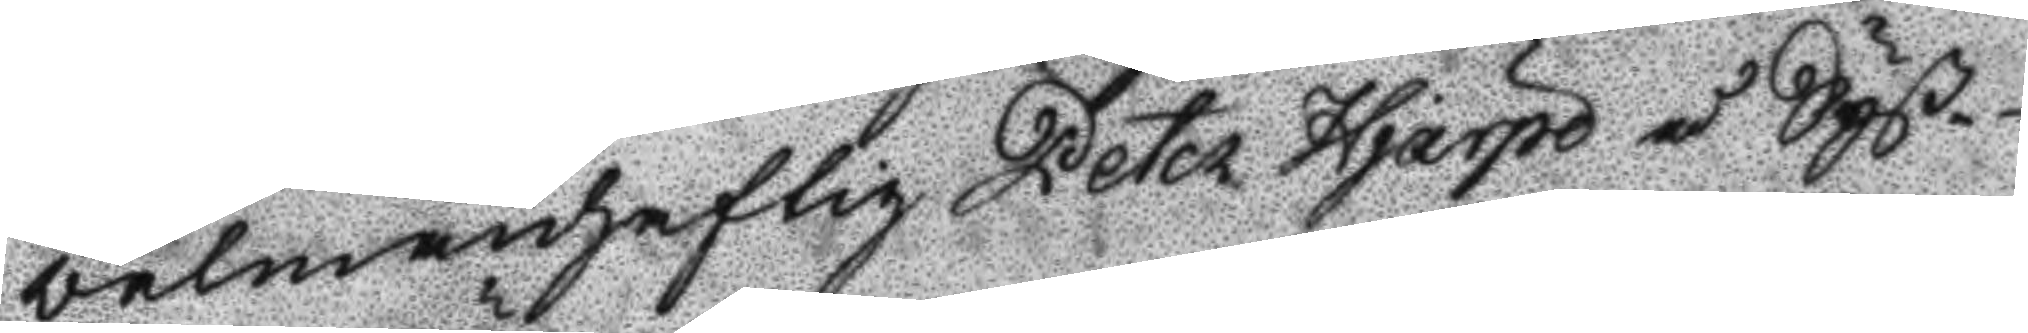välmanhaftig Peter Hjärpe å Syß¬
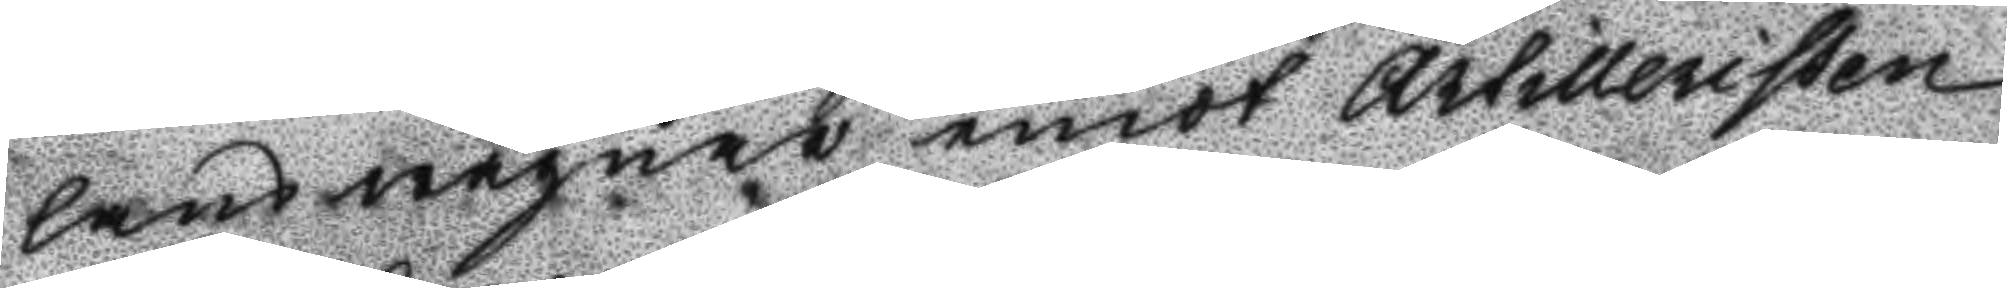lans wägnar emot Artilleristen
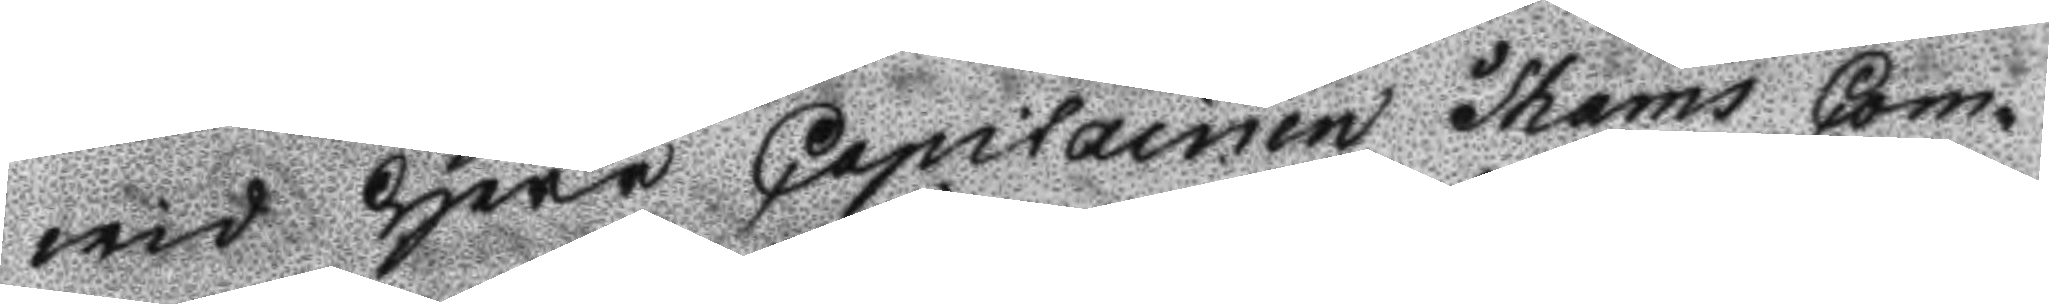wid Herr Capitainen Thams Com¬
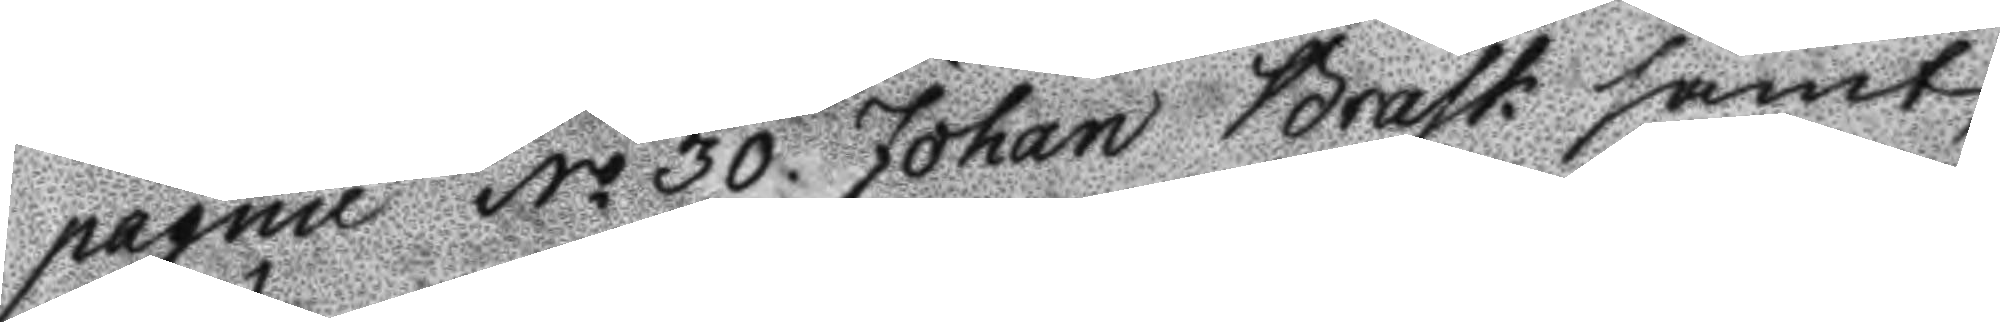pagnie No 30. Johan Brask samt
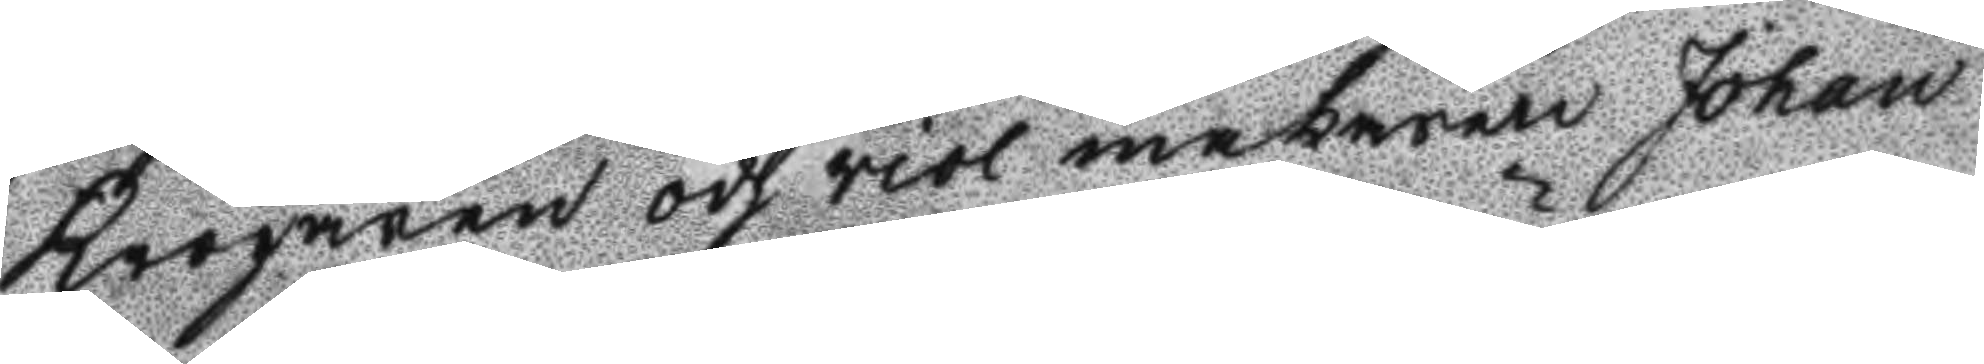Krögaren och viol makaren Johan
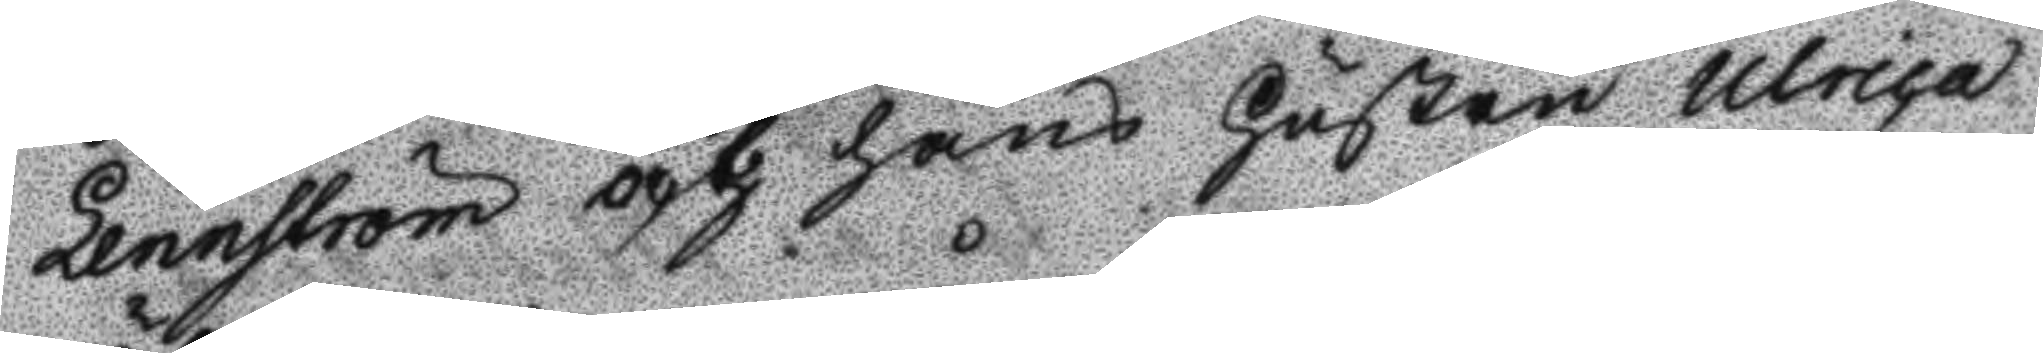Lennström och hans Hustru Ulrica
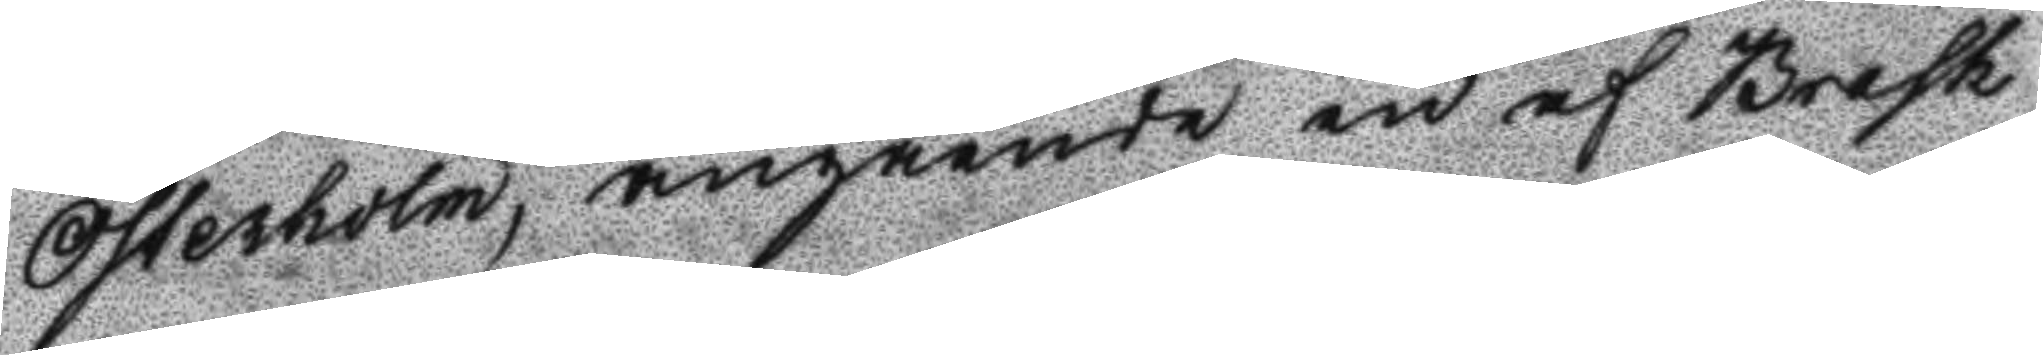Österholm, angående en af Brask
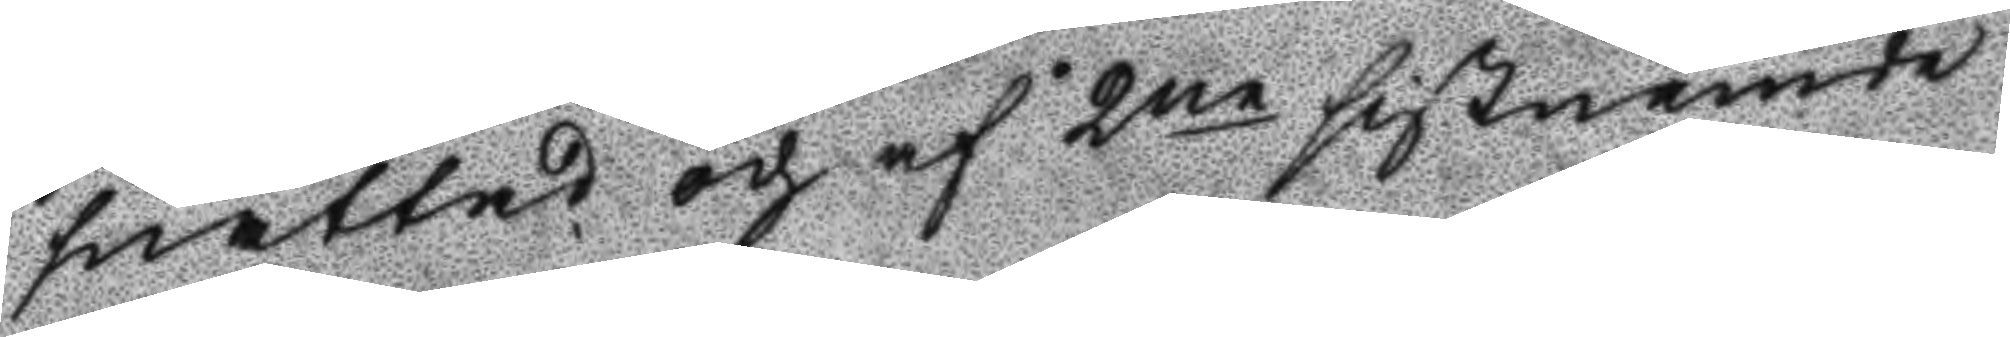snattad och af 2ne sistnämde
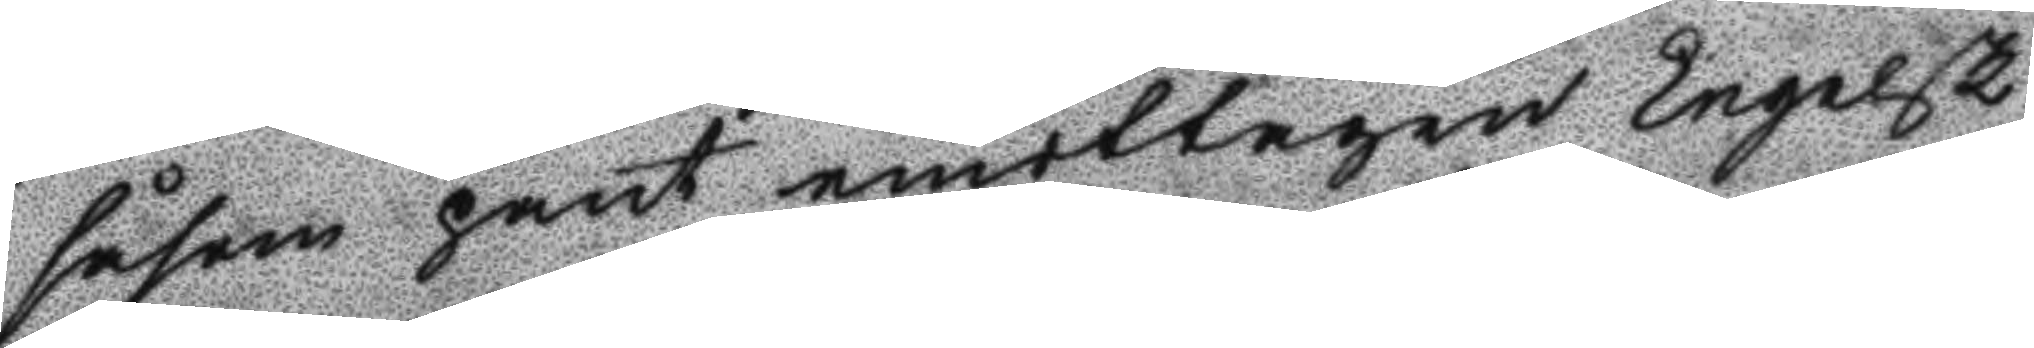såsom pant emottagen Engelsk
